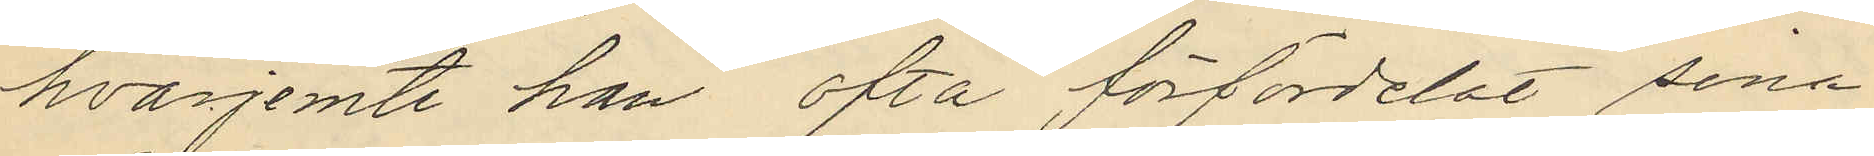hvarjemte han ofta förfördelat sina
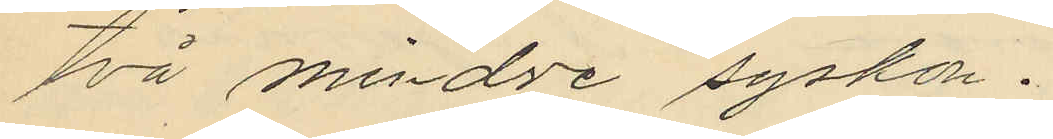två mindre syskon.
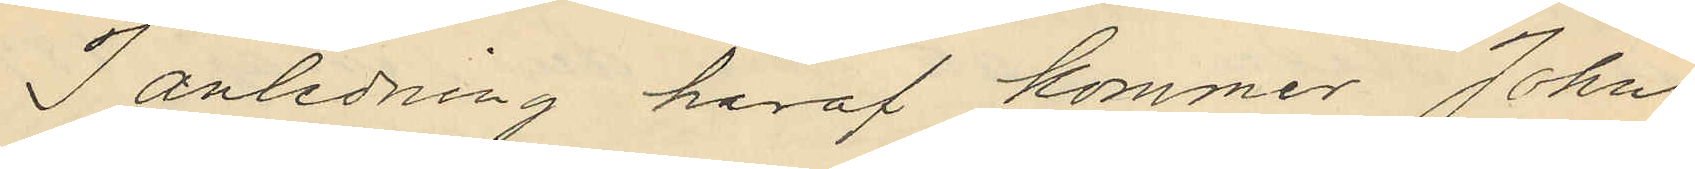I anledning häraf kommer John
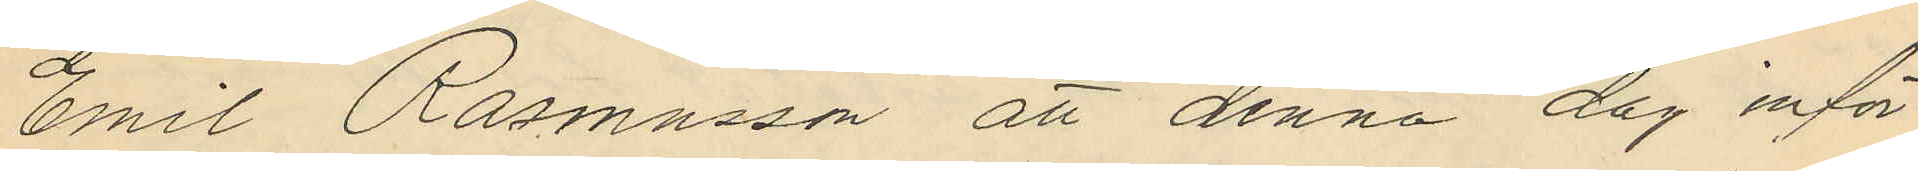Emil Rasmusson att denna dag inför
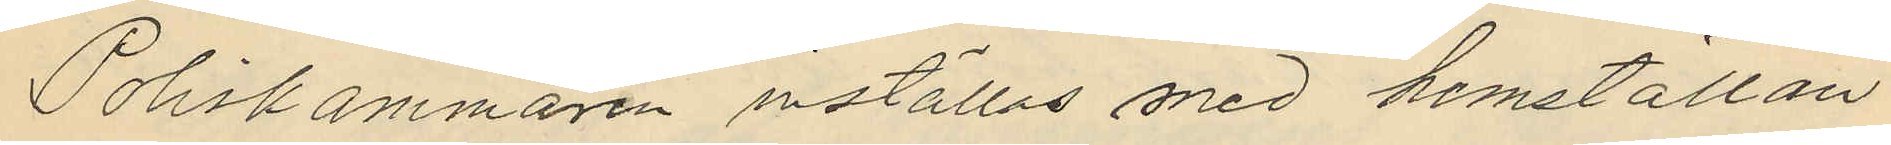Poliskammaren inställas med hemställan
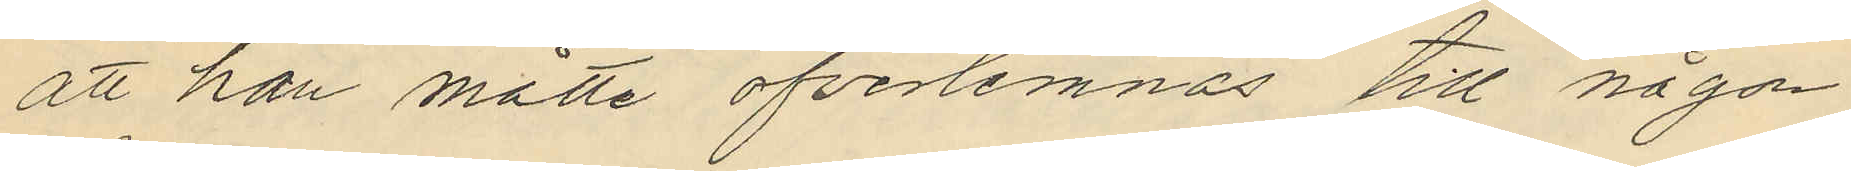att han måtte öfverlemnas till någon
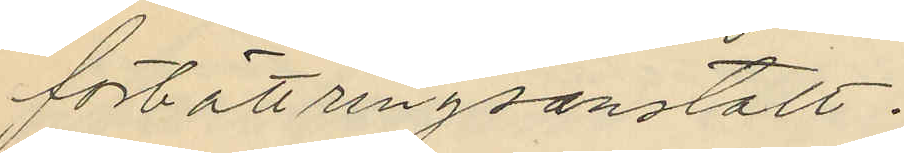förbättringsanstalt.
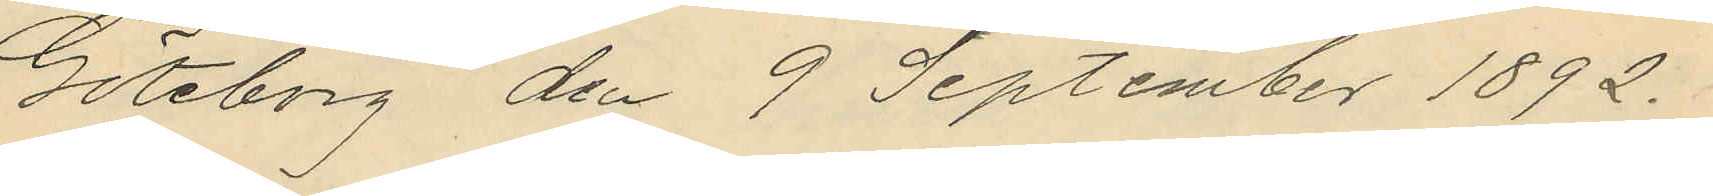Göteborg den 9 September 1892.
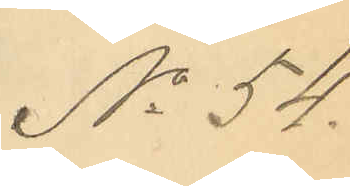No 54.
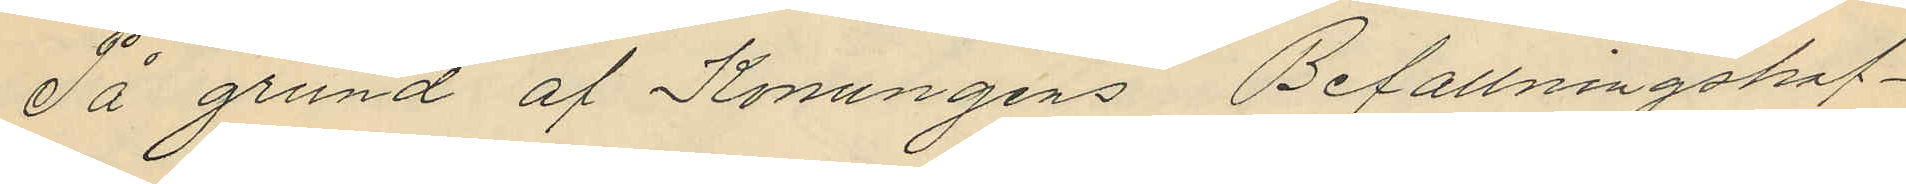På grund af Konungens Befallningshaf¬
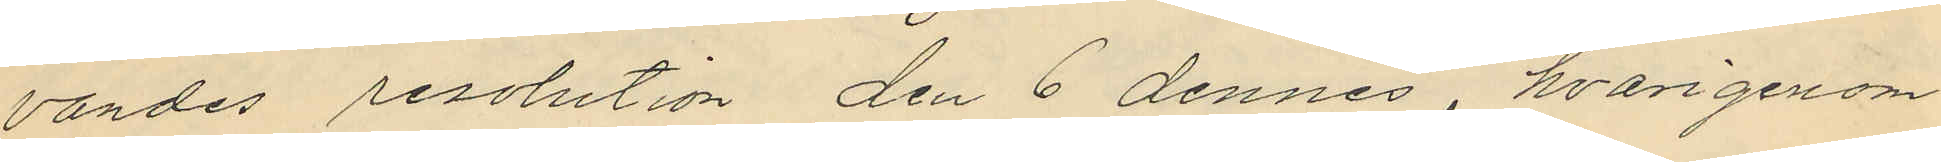vandes resolution den 6 dennes, hvarigenom
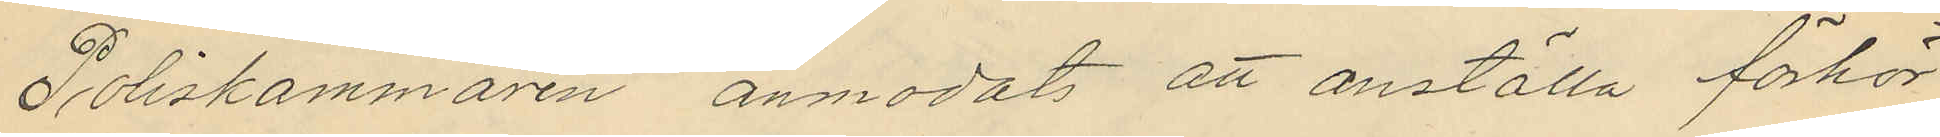Poliskammaren anmodats att anställa förhör
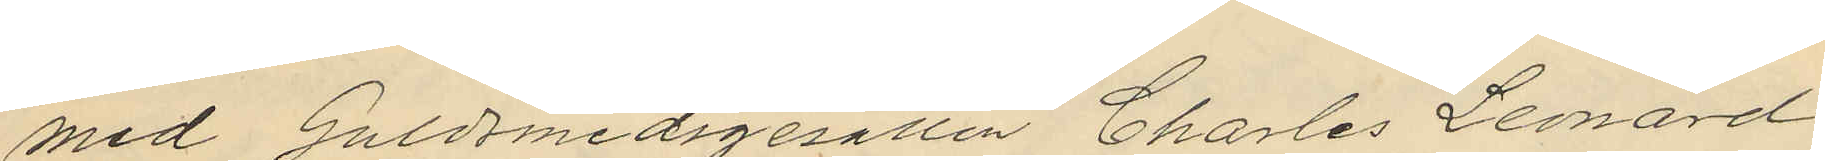med Guldsmedsgesällen Charles Leonard
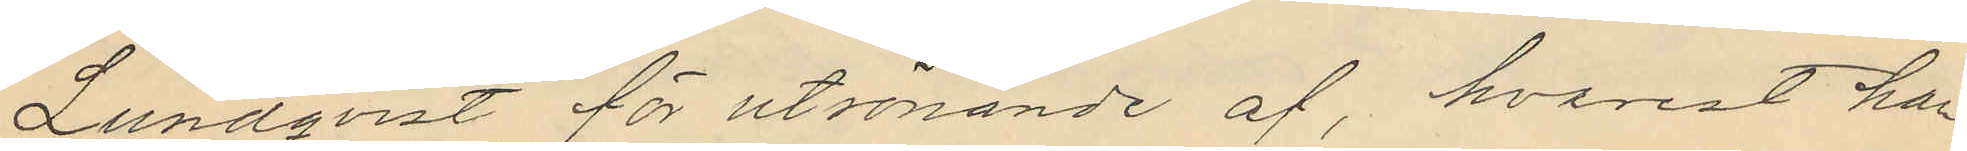Lundqvist för utrönande af, hvarest han
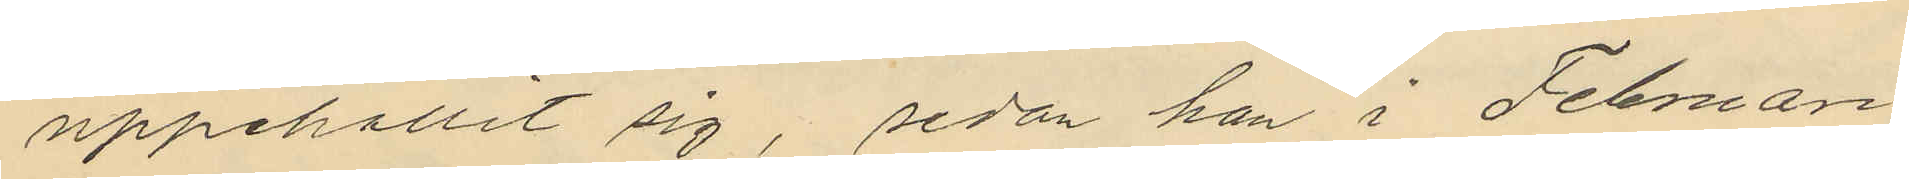uppehållit sig, sedan han i Februari
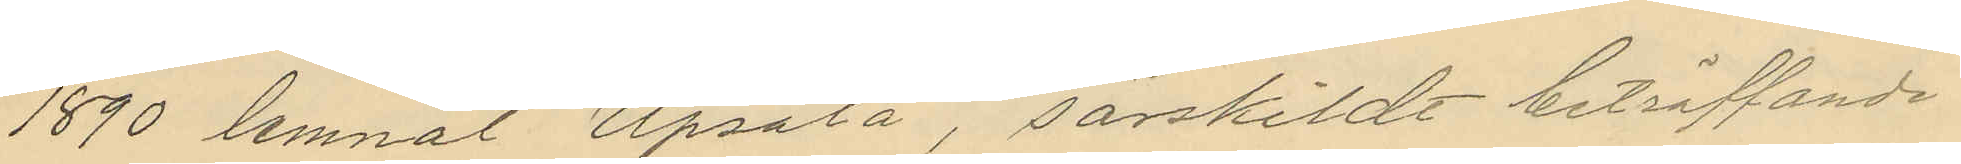1890 lemnat Upsala, särskildt beträffande
